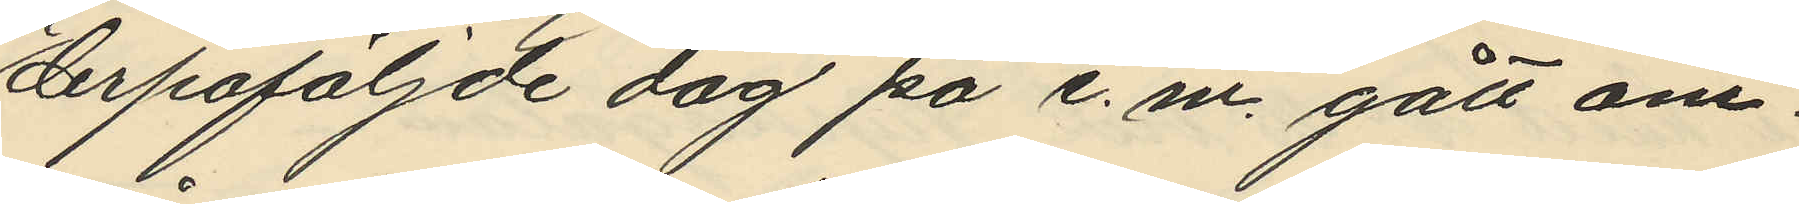derpåföljde dag på e. m. gått om¬
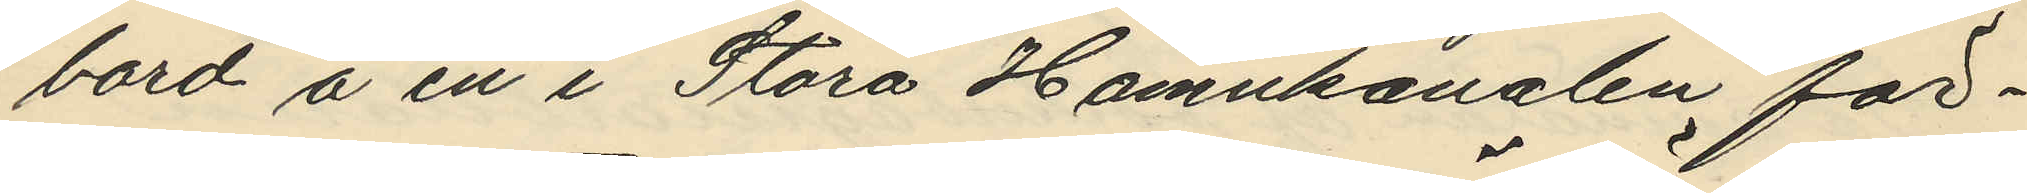bord å en i Stora Hamnkanalen för¬
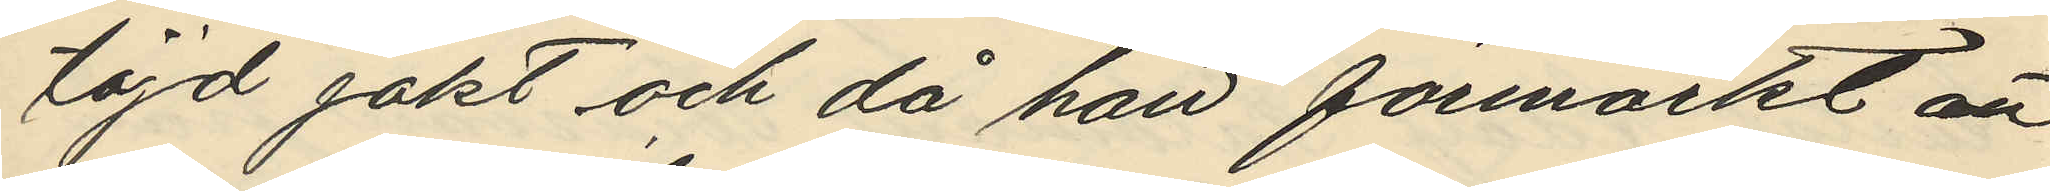töjd jakt och då han förmärkt att
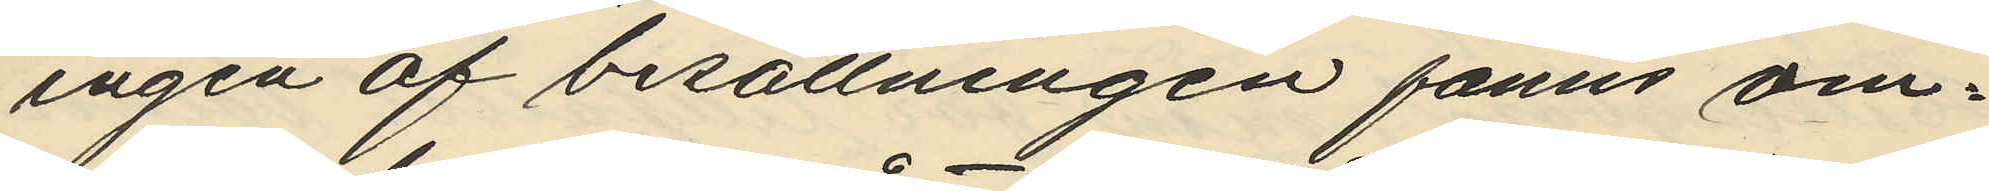ingen af besättningen fanns om¬
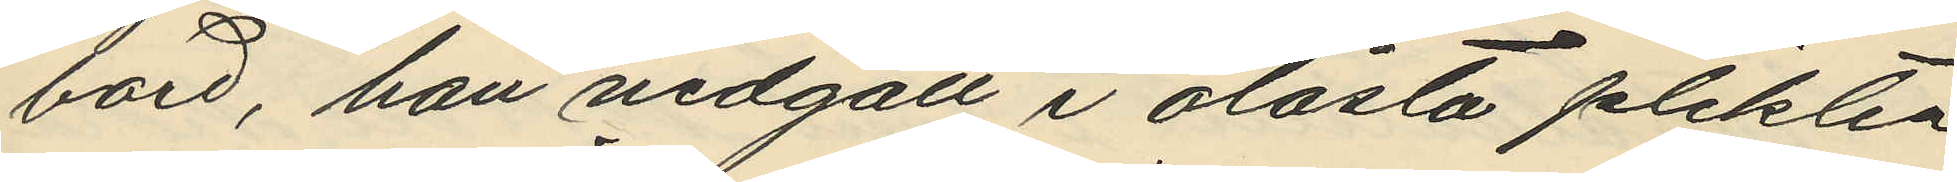bord, han nedgått i olåsta plikten
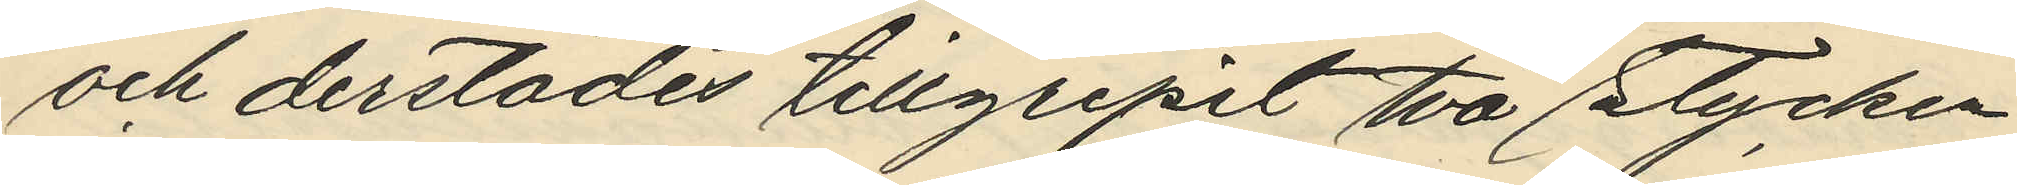och derstädes tillgripit två stycken
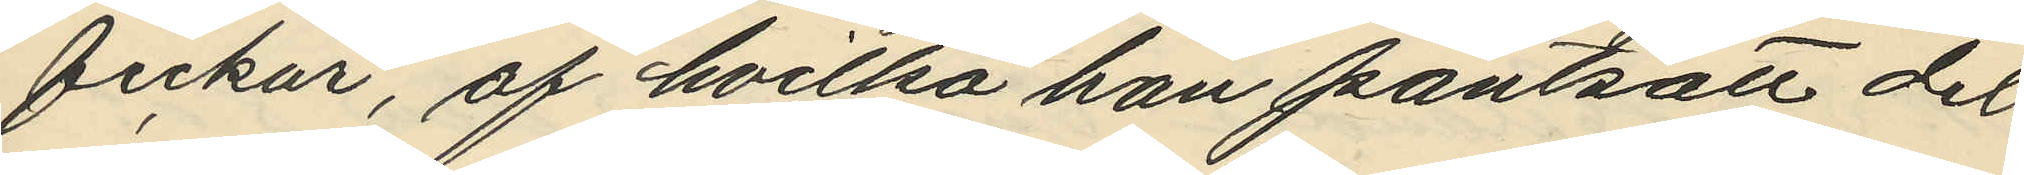fickur, af hvilka han pantsatt det
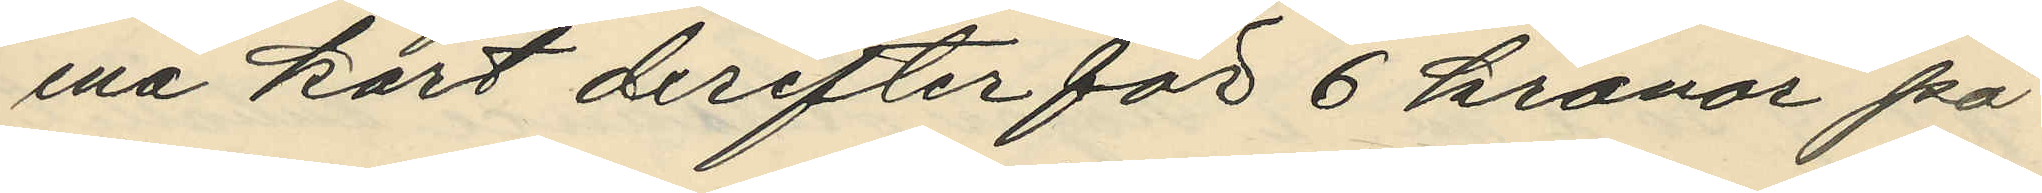ena kort derefter för 6 kronor på
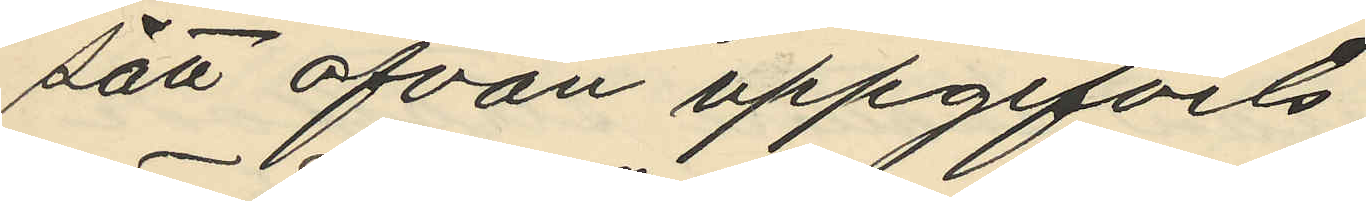sätt ofvan uppgifvits;
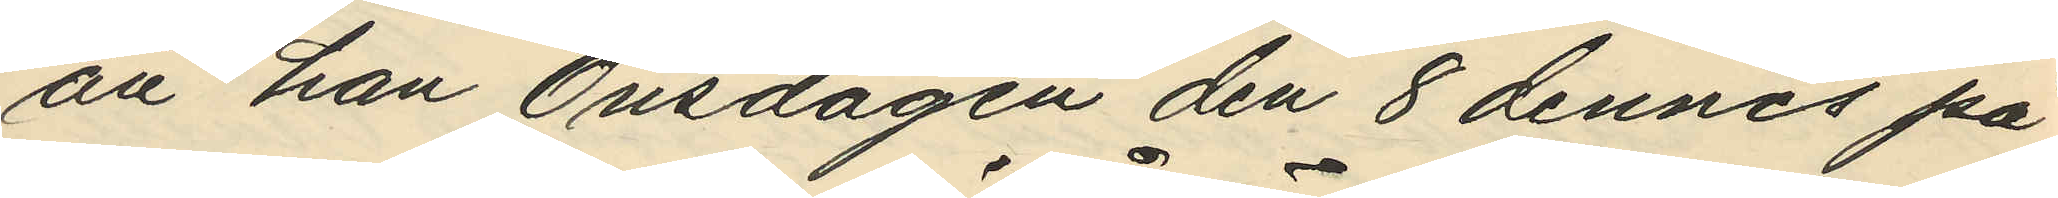att han Onsdagen den 8 dennes på
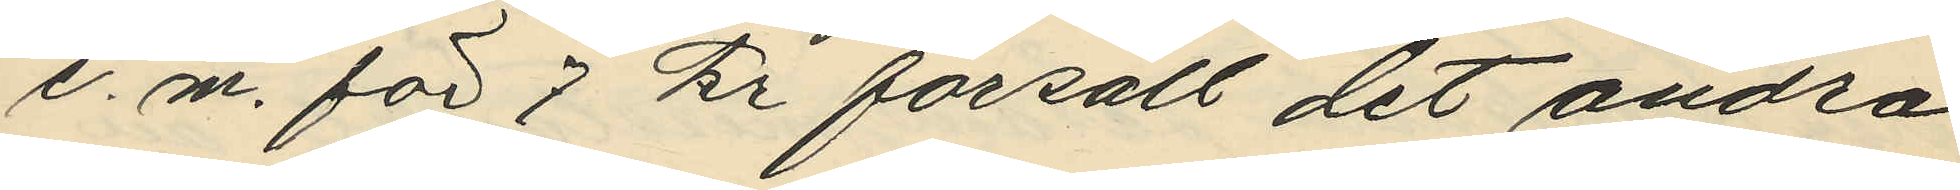e. m. för 7 kr försålt det andra
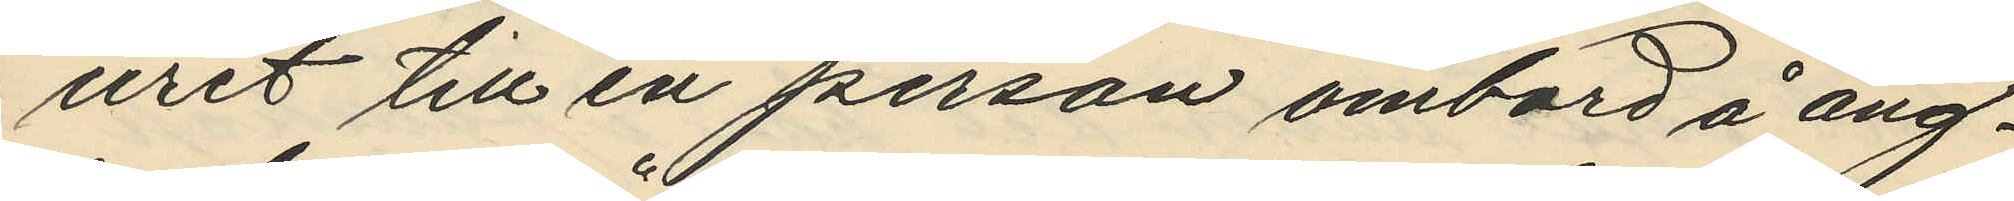uret till en person ombord å ång¬
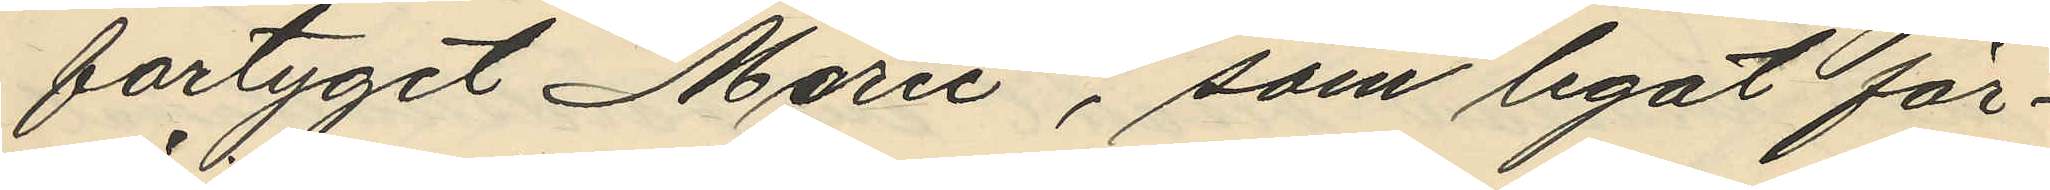fartyget "Marie", som legat för¬
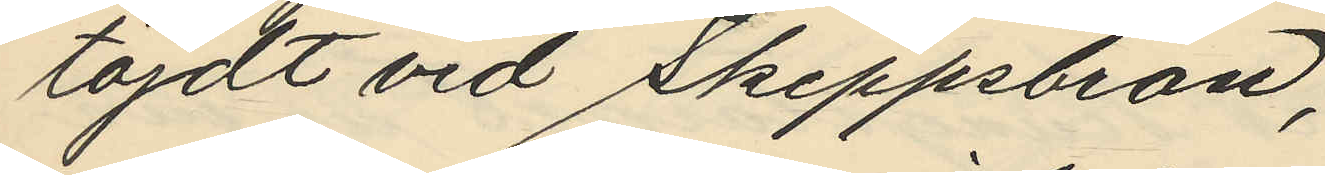töjdt vid Skeppsbron;
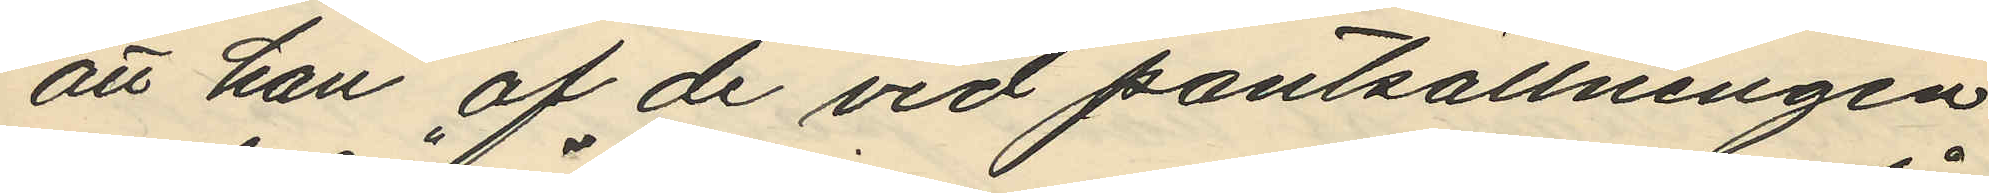att han af de vid pantsättningen
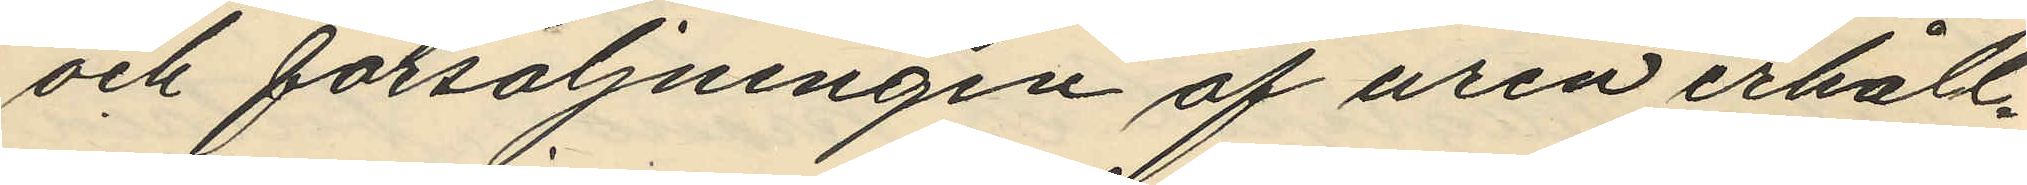och försäljningen af uren erhåll¬
